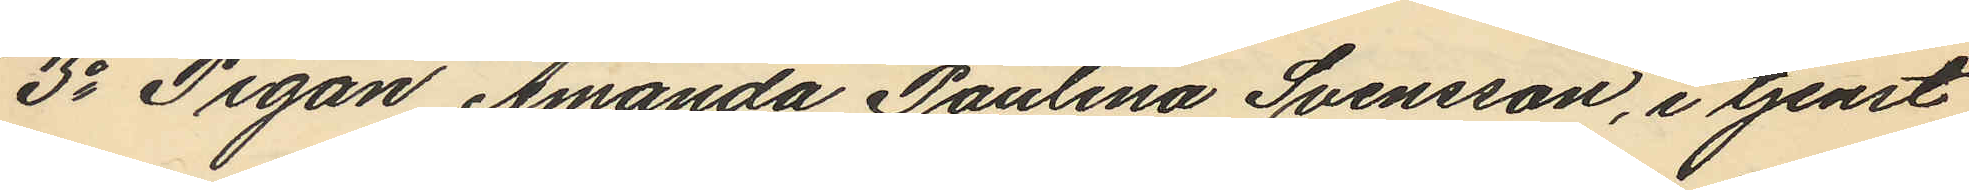3o Pigan Amanda Paulina Svensson, i tjenst
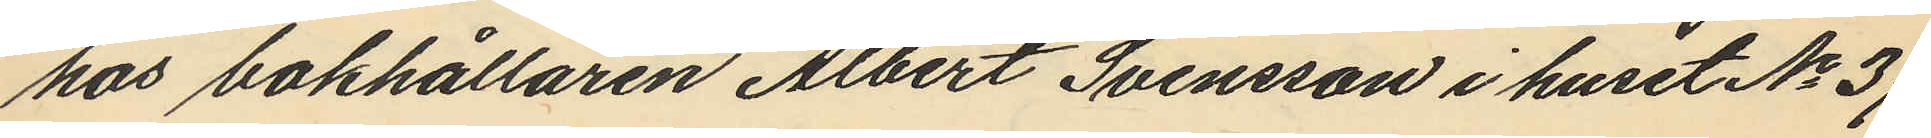hos bokhållaren Albert Svensson i huset No 37
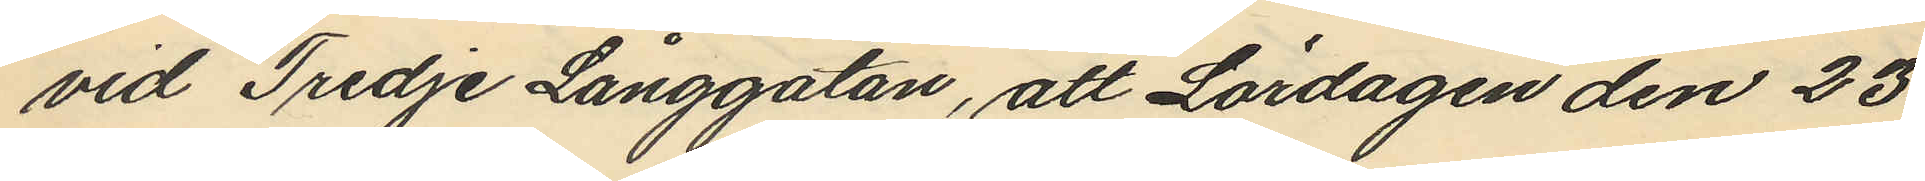vid Tredje Långgatan, att Lördagen den 23
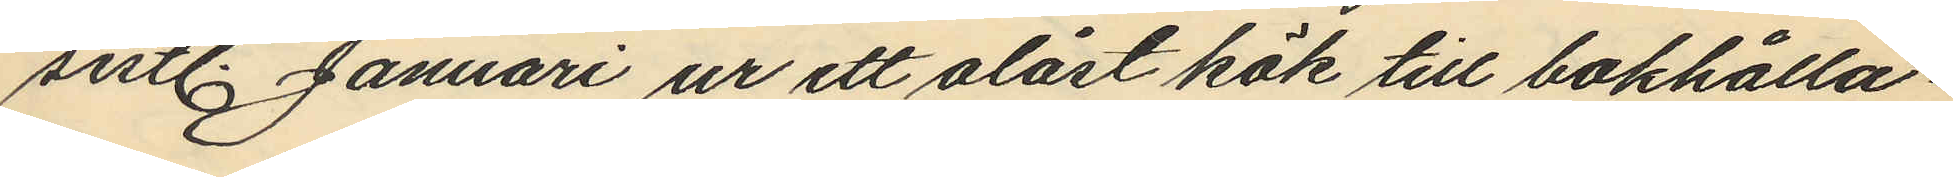sistl. Januari ur ett olåst kök till bokhålla¬
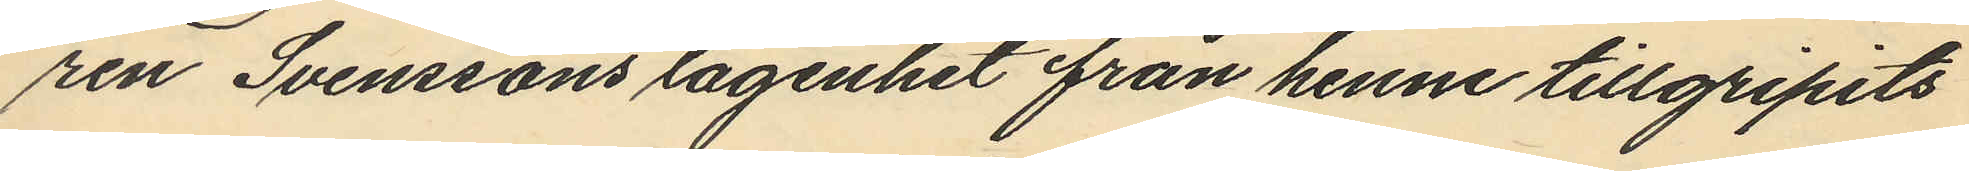ren Svenssons lägenhet från henne tillgripits
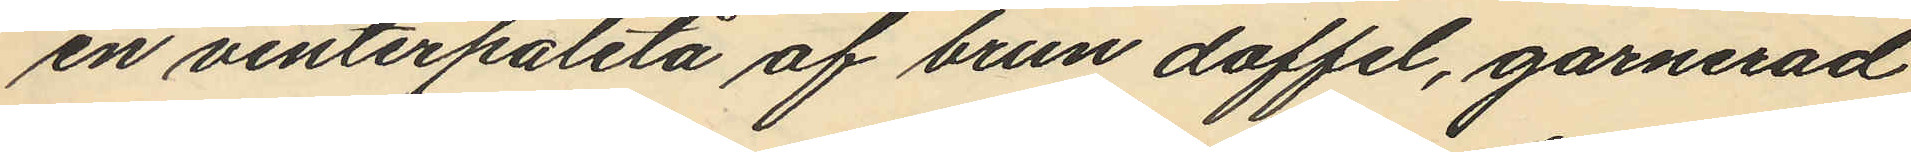en vinterpaletå af brun doffel, garnerad
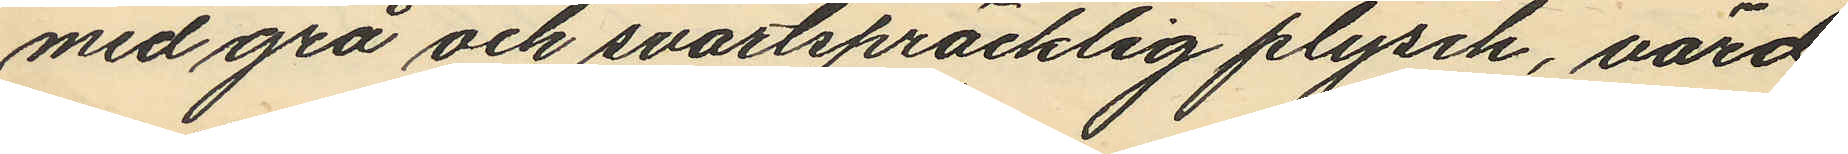med grå och svartspräcklig plysch, värd
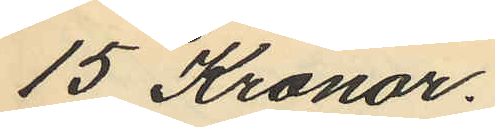15 Kronor.
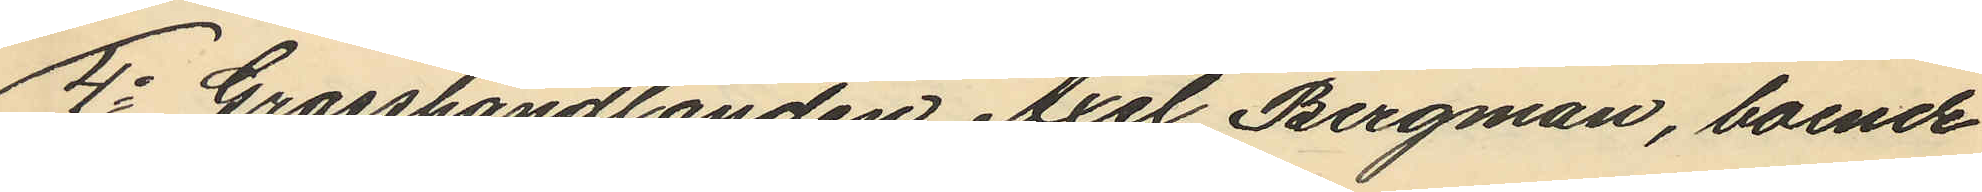4o Grosshandlanden Axel Bergman, boende
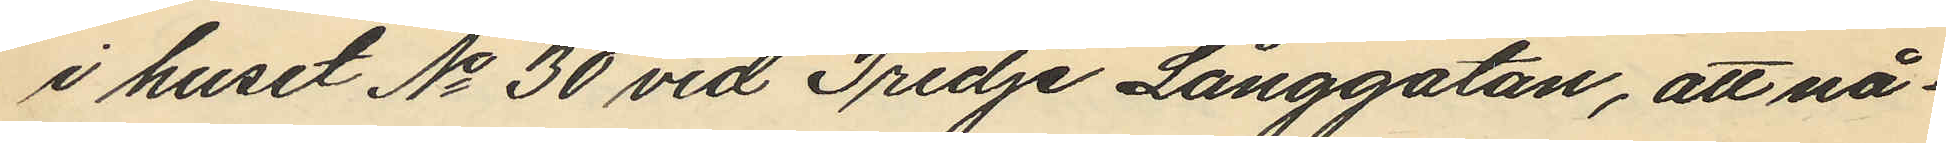i huset No 30 vid Tredje Långgatan, att nå¬
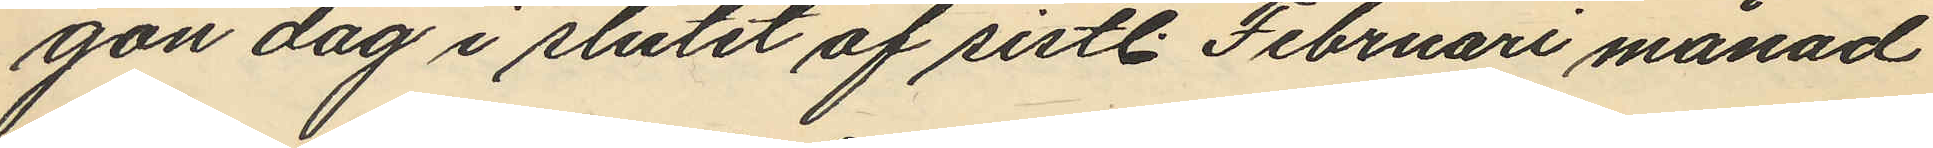gon dag i slutet af sistl. Februari månad
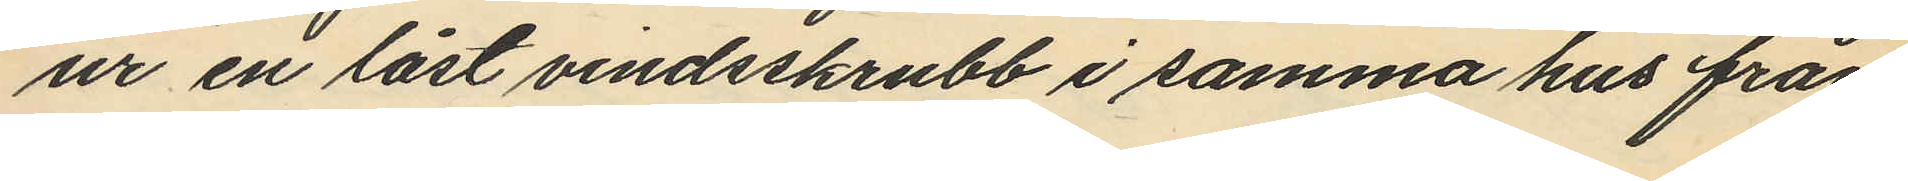ur en låst vindsskrubb i samma hus från
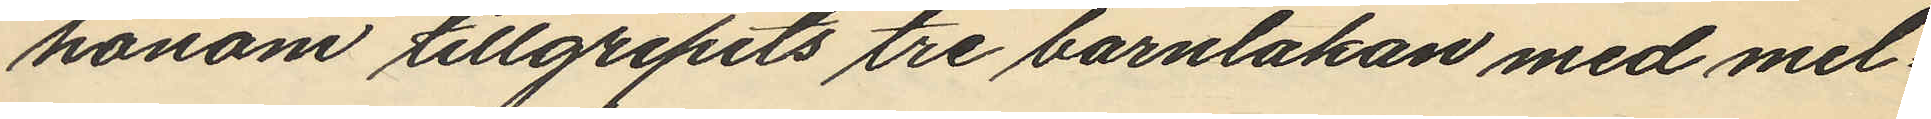honom tillgripits tre barnlakan med mel¬
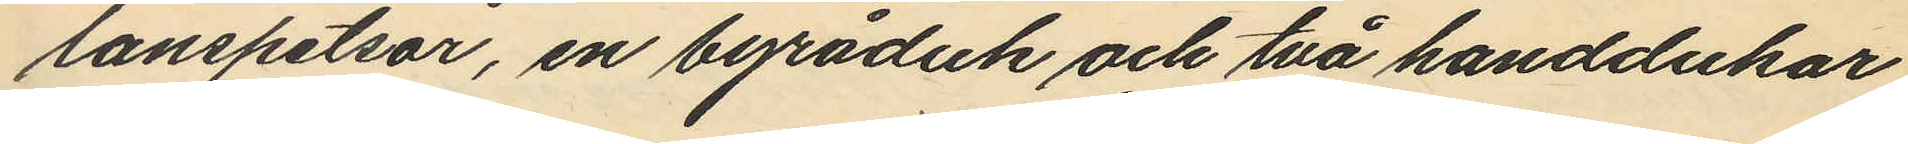lanspetsar, en byråduk och två handdukar
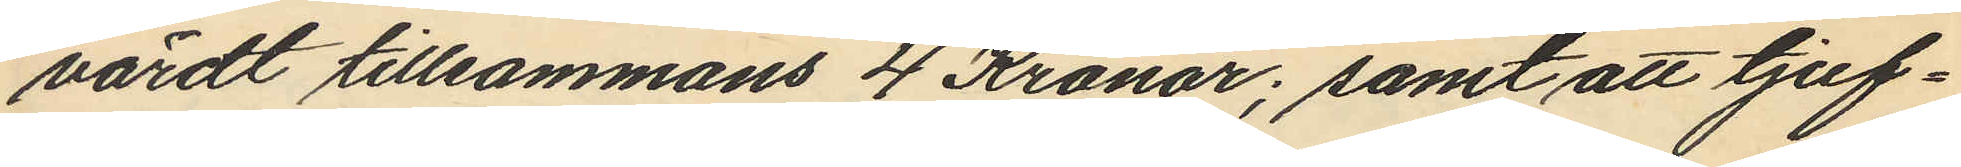värdt tillsammans 4 Kronor; samt att tjuf¬
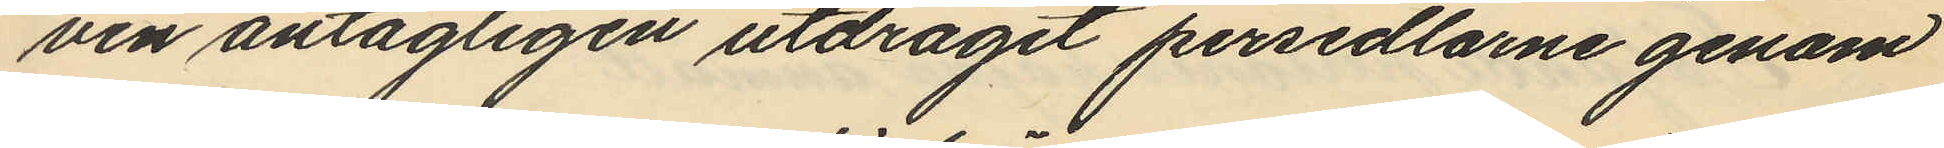ven antagligen utdragit persedlarne genom
